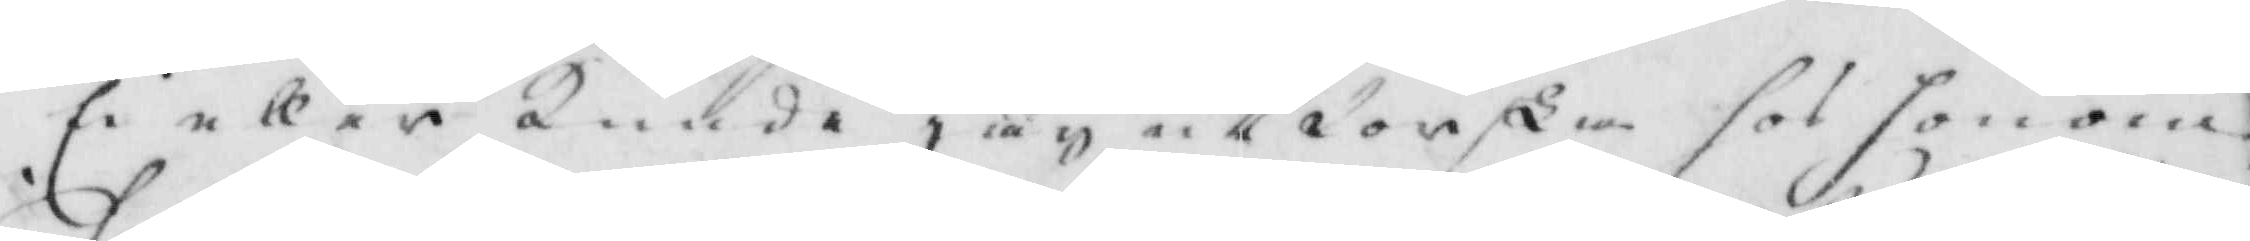Ei eller kunde jag utforska hos honom,
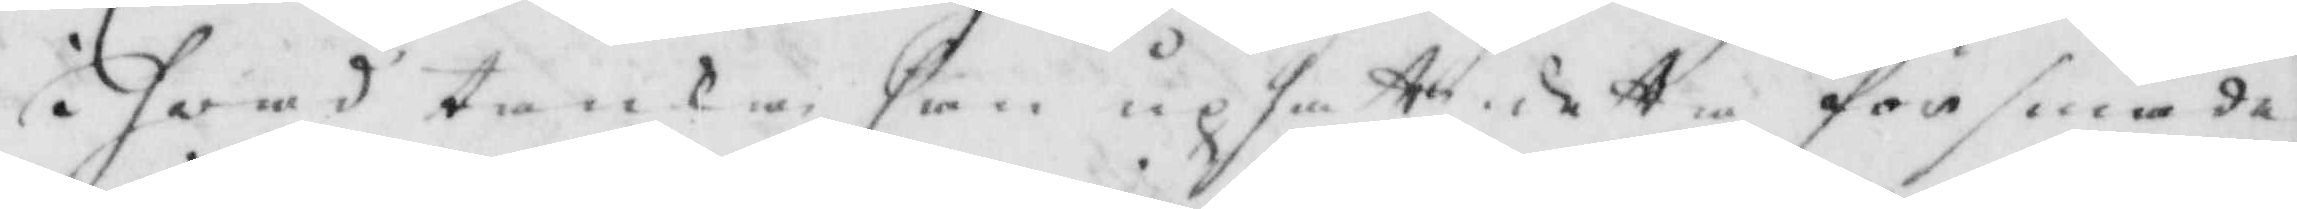i hwad tankar han upsatte dette försmäde¬
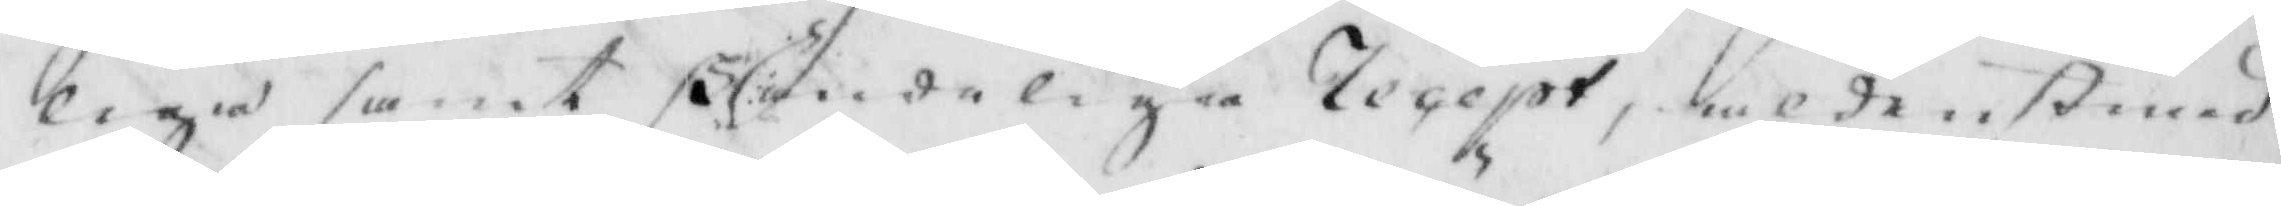liga samt skändeliga legept, aldenstund
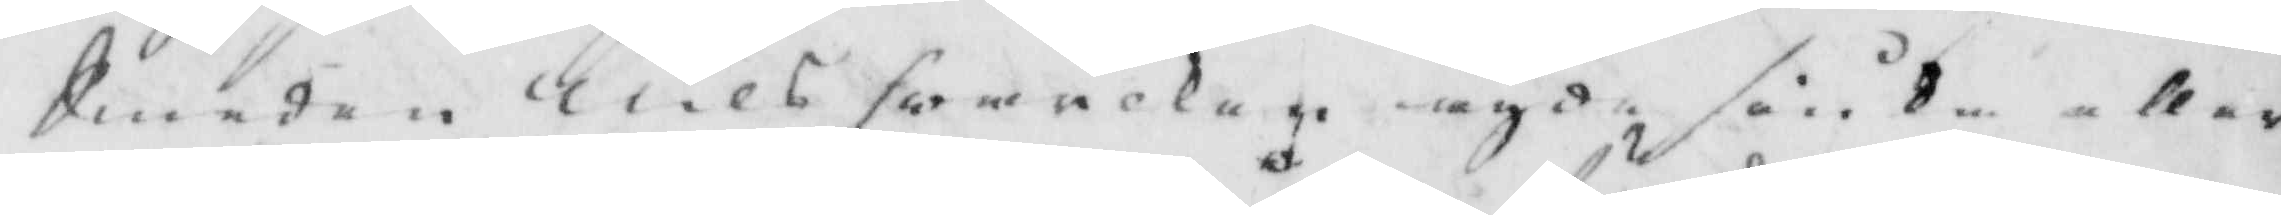Smeden Nils hwarken ägde siuka eller
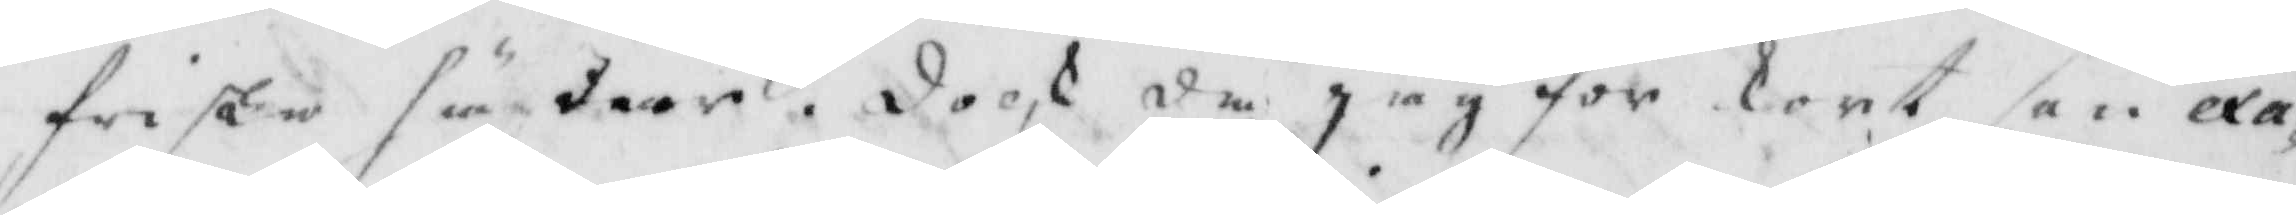friska hägder. dock då jag för kort han exa¬
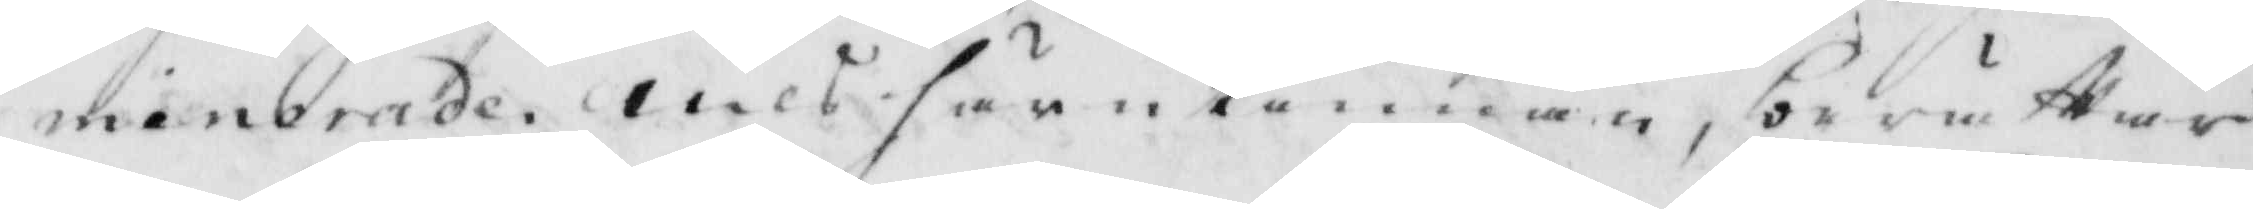minerade Nils härutinnan, berättar
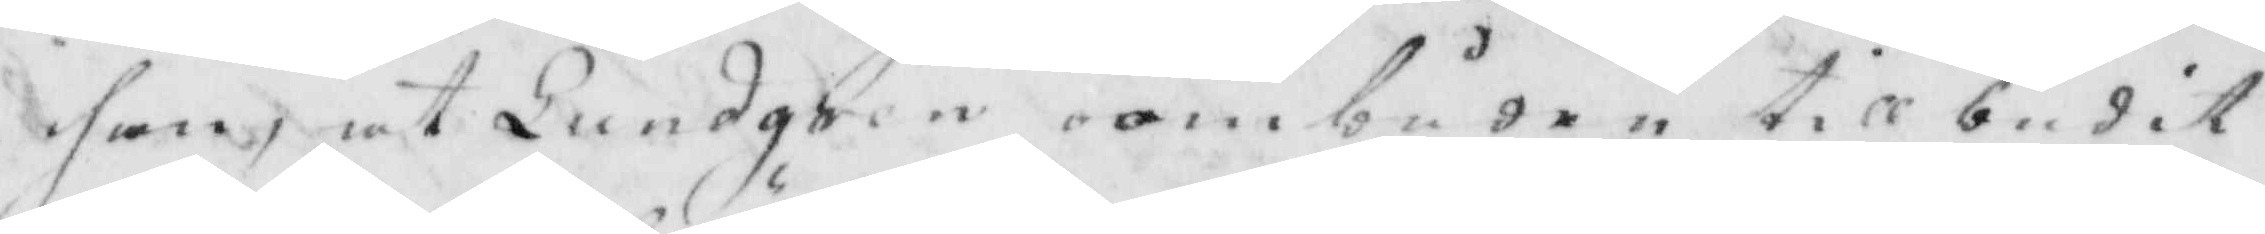han, at Lundgren ombuden tillbudit
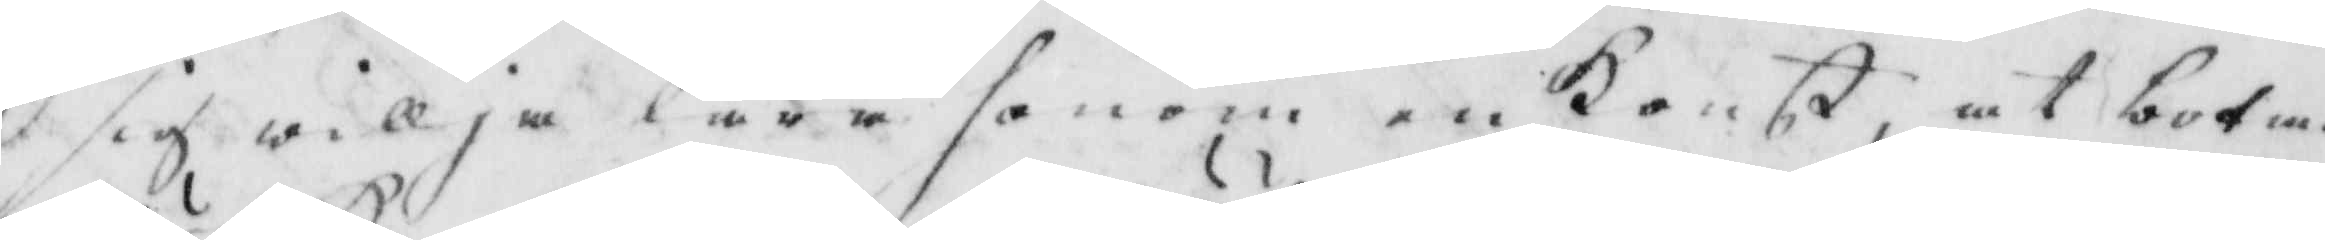sig willja lära honom en Konst, at bota
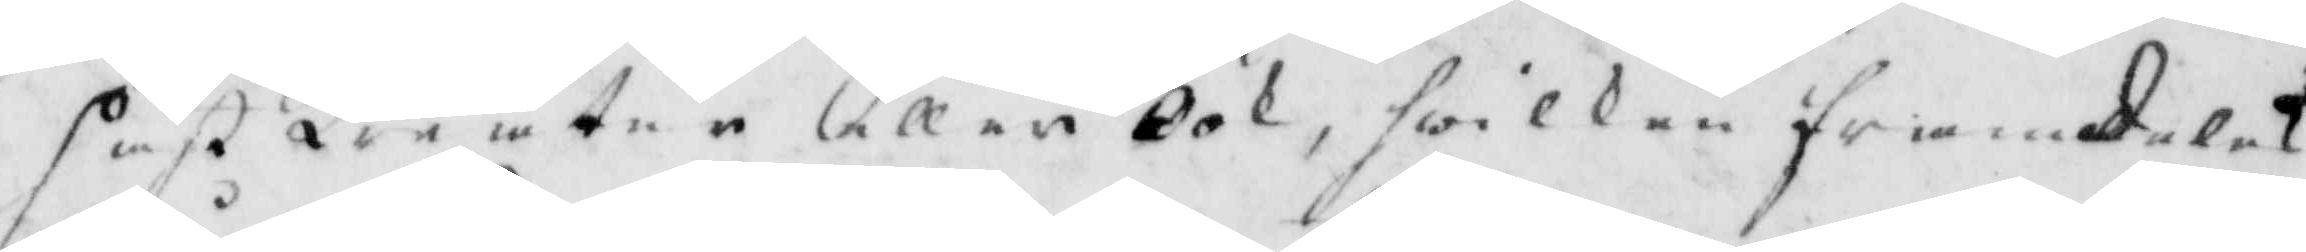häst Kreatur eller Öök, hwilken framkalat
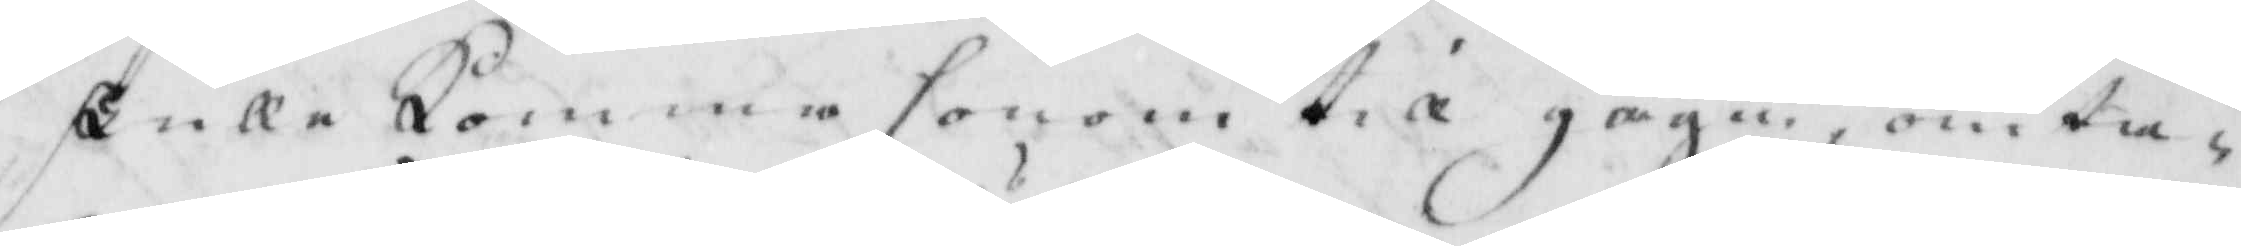skulle komma honom till gagn, om ta¬
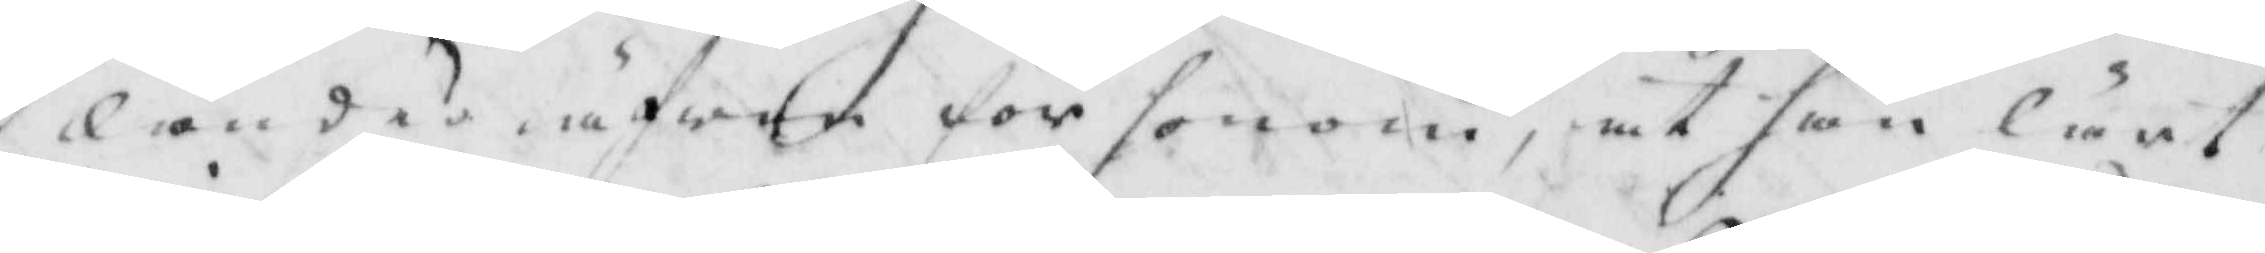lande äfwen för honom, at han lärt
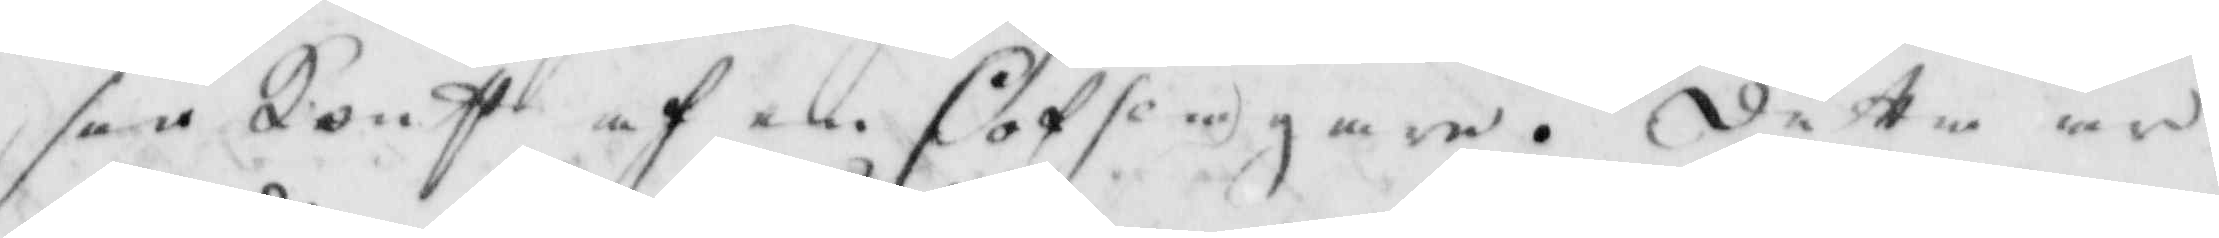sån konst af en Hofslagare. detta är
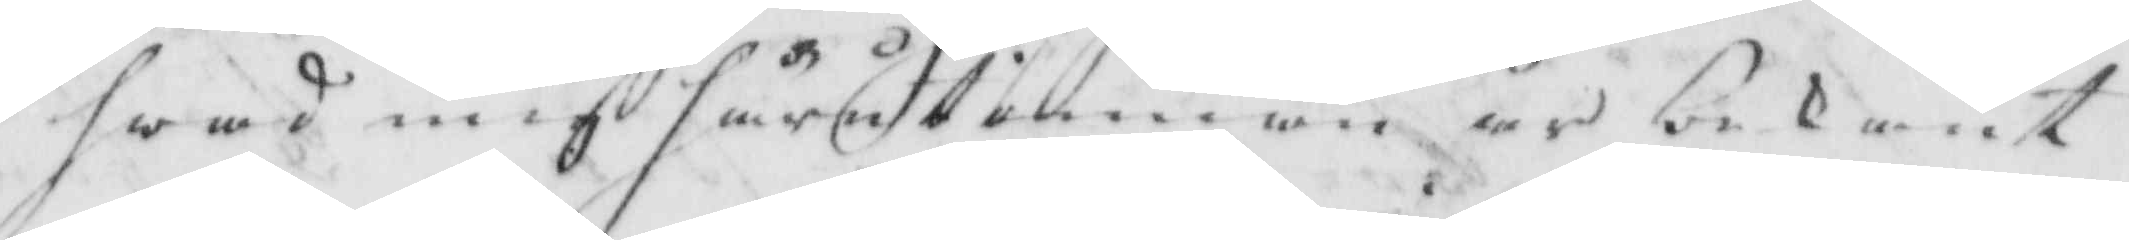hwad mig härutinnan är bekant.
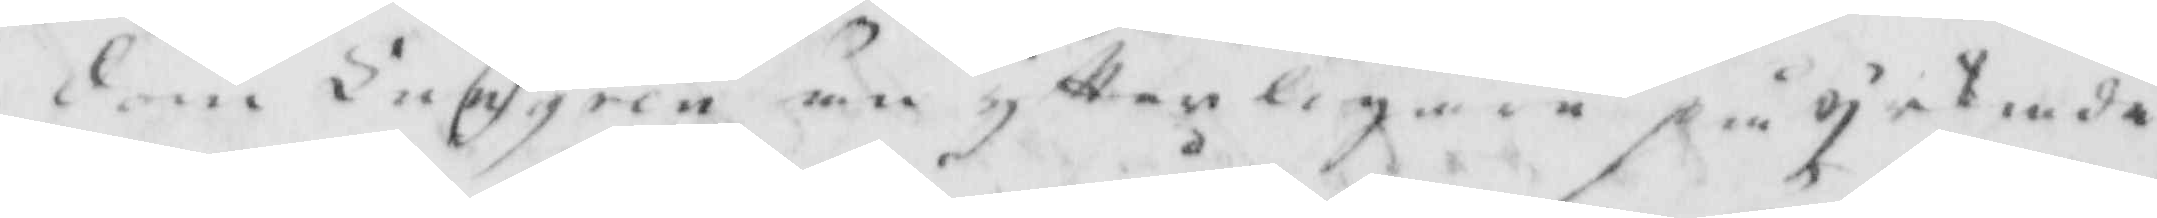dom Lundgren än ytterligare på pekade
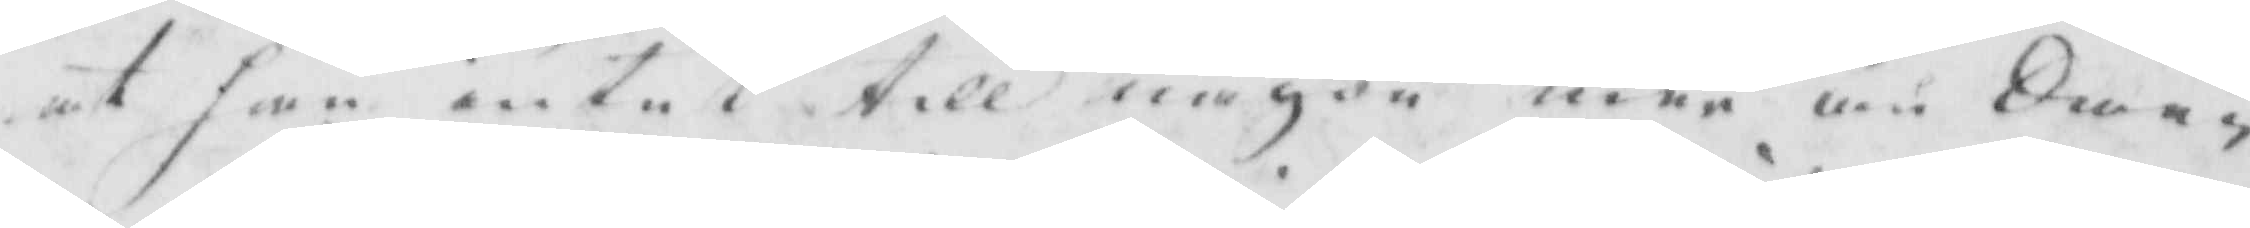at han intet till någon mer än Sme¬
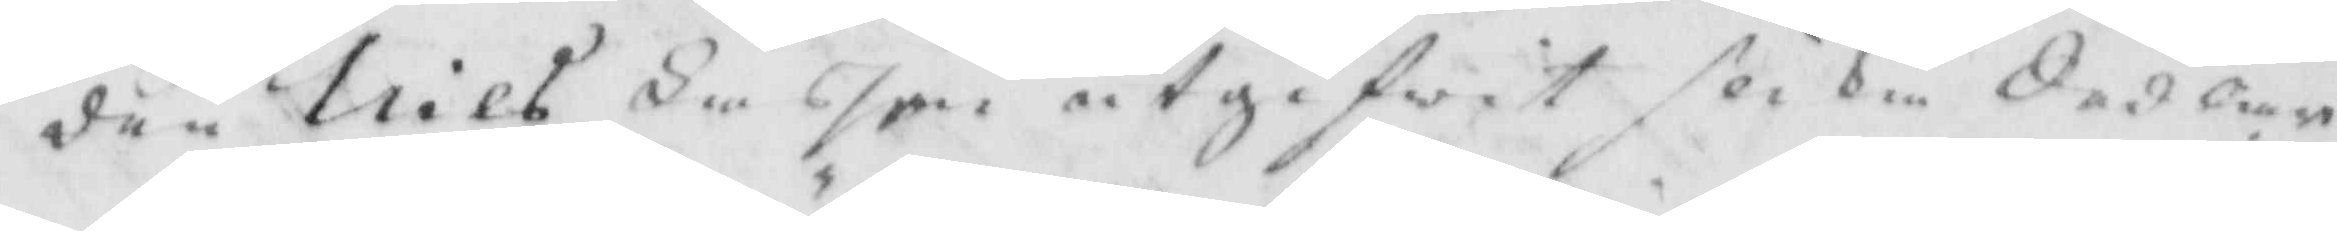den Nils Lassen utgifwit slika Sedlar
